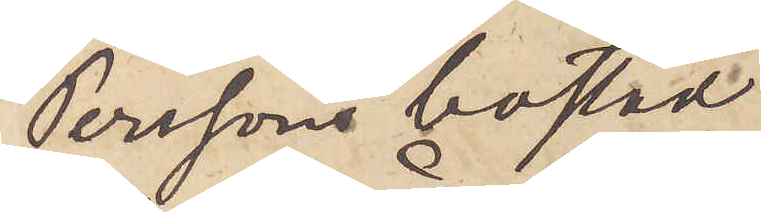Perssons bostad
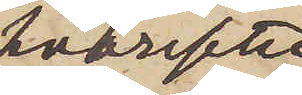hvarefter
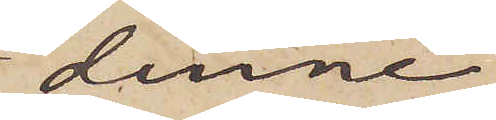denne
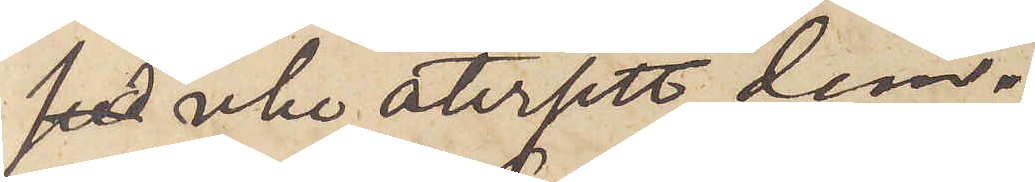 icke återsett dem.
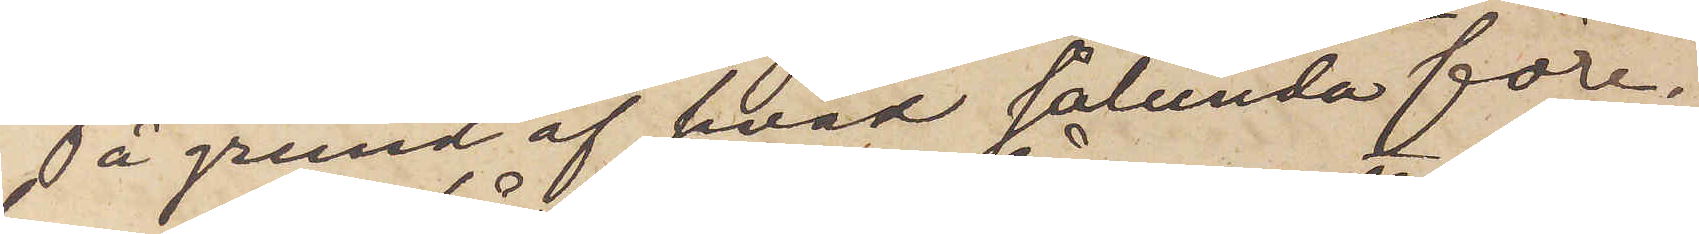På grund af hvad sålunda före¬
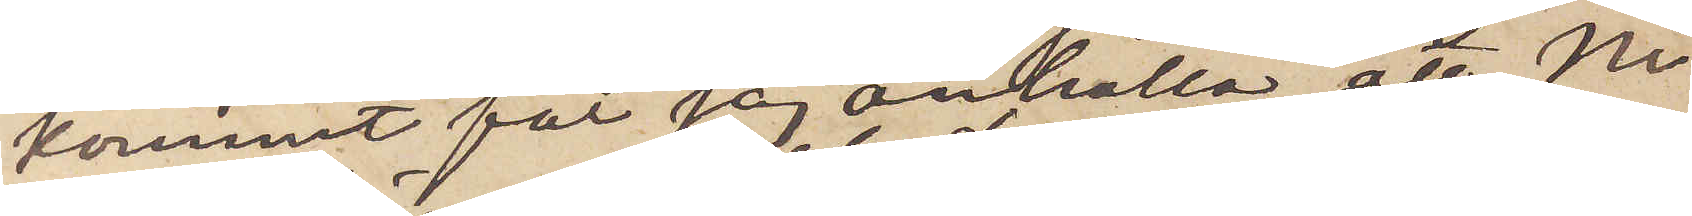kommit får jag anhålla att Ni
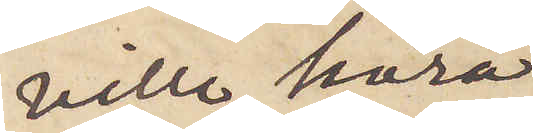ville höra
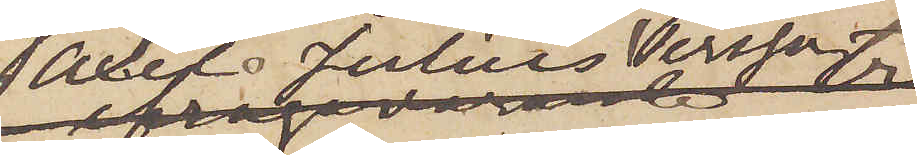Axel Julius Persson
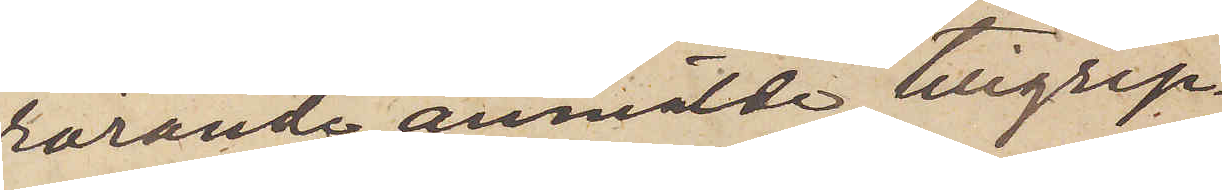rörande anmälde tillgrep¬
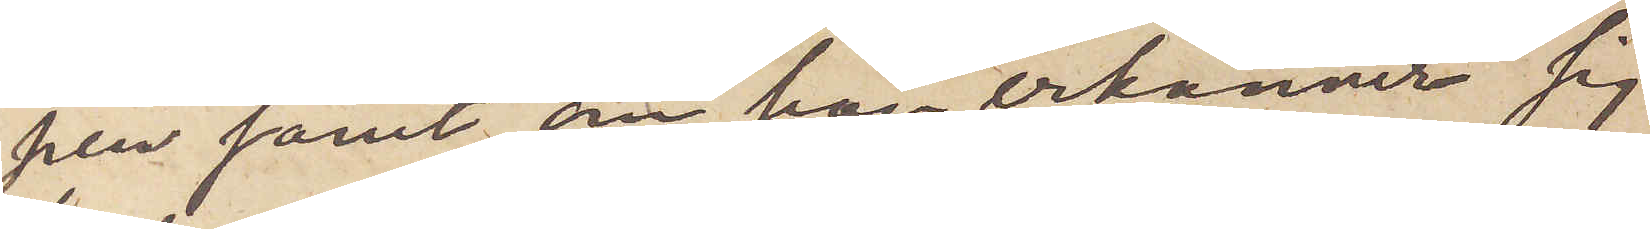pen samt om han erkänner sig
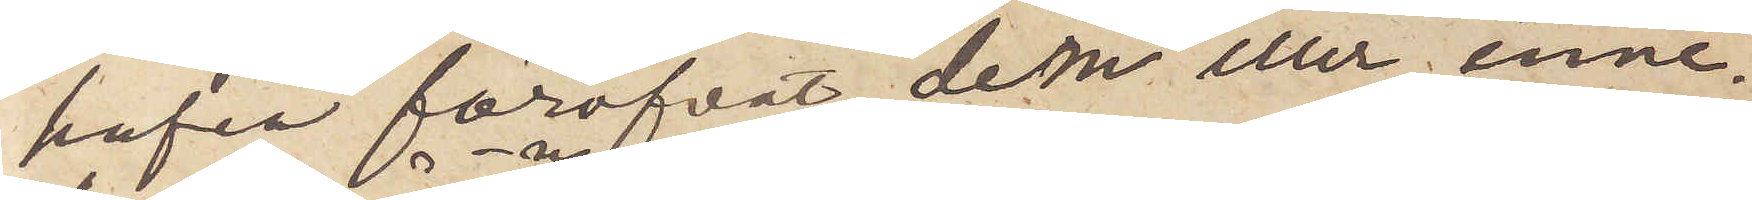hafva föröfvat dem eller inne¬
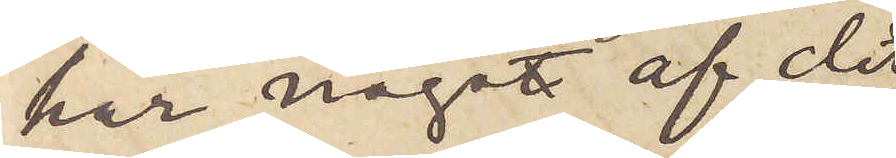har någon af de
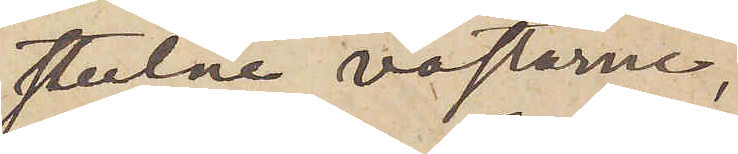stulne västarne,
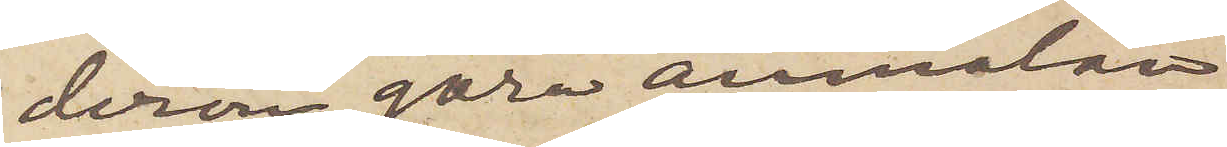derom göra anmälan
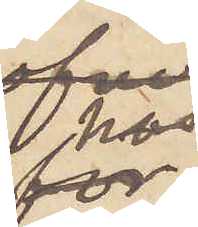hos
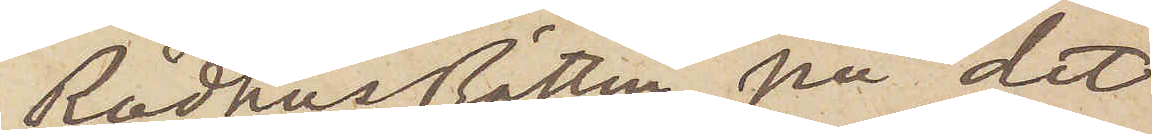Rådhusrätten, på det
